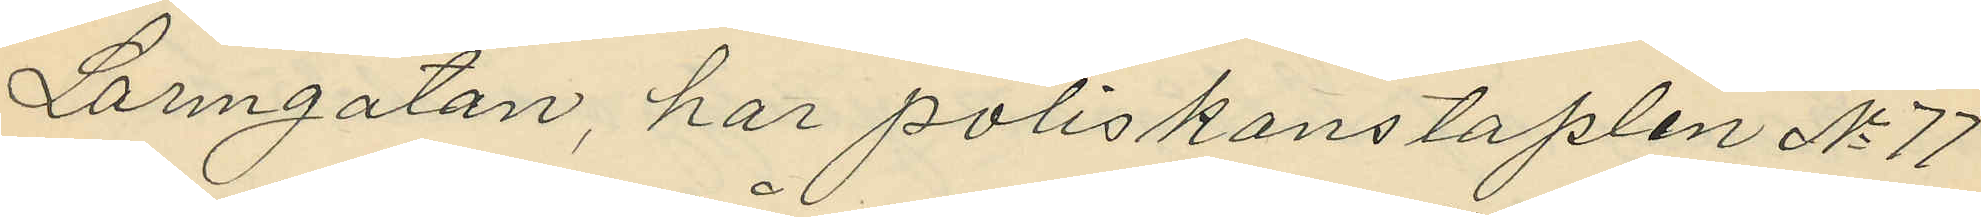Larmgatan, har poliskonstaplen No 77
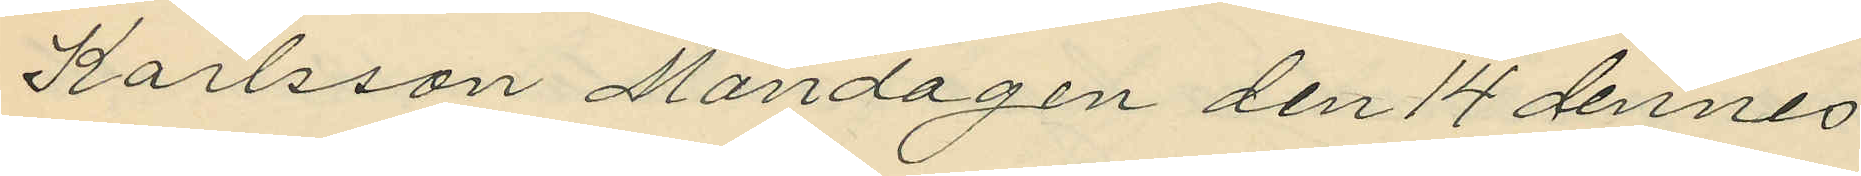Karlsson Måndagen den 14 dennes
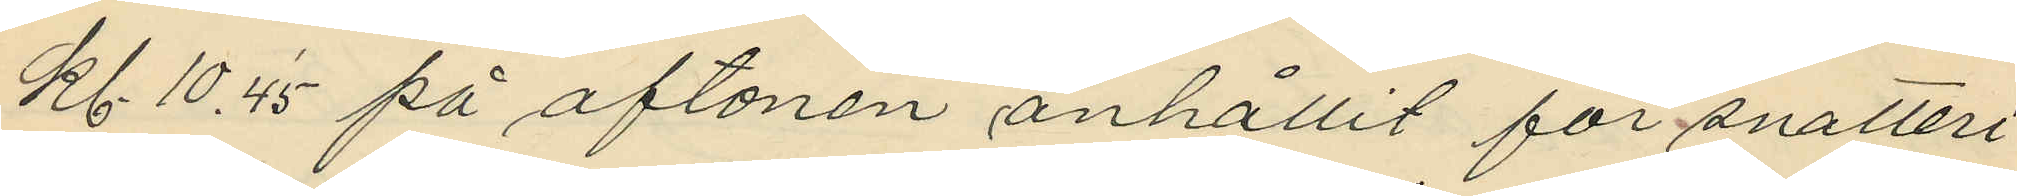kl. 10.45 på aftonen anhållit för snatteri
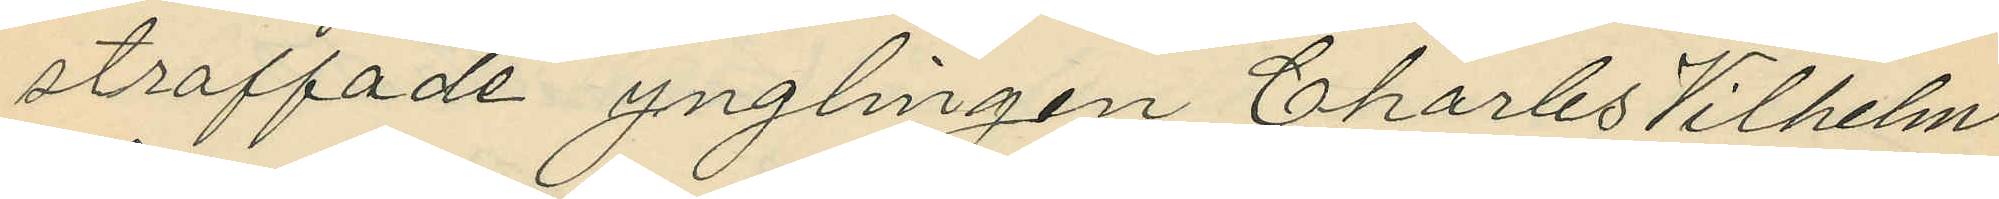straffade ynglingen Charles Vilhelm
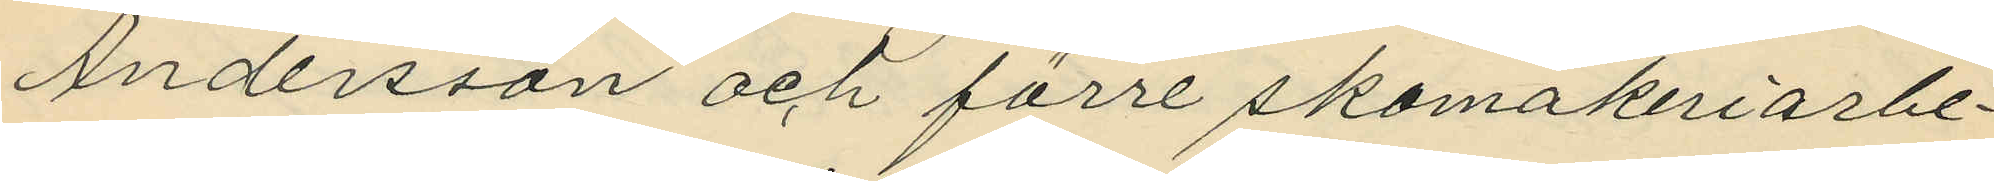Andersson och förre skomakeriarbe¬
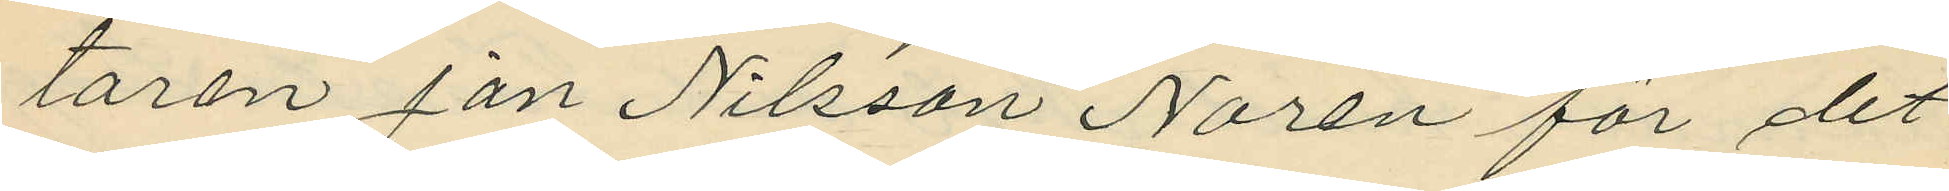taren Jan Nilsson Norén för det
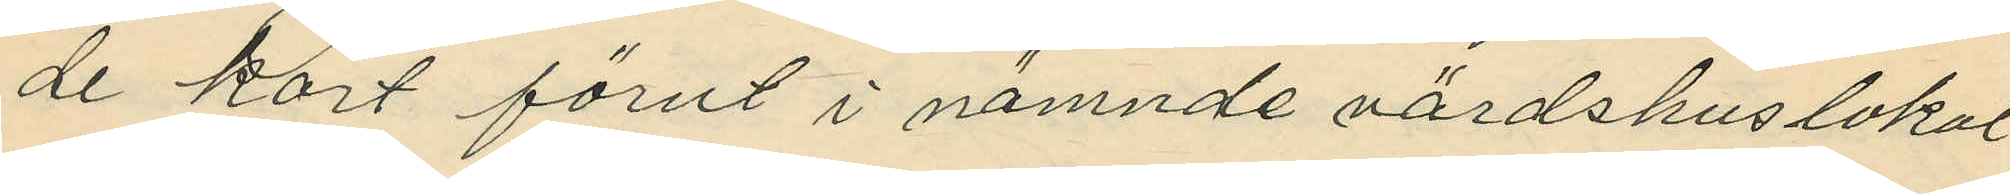de kort förut i nämnde värdshuslokal
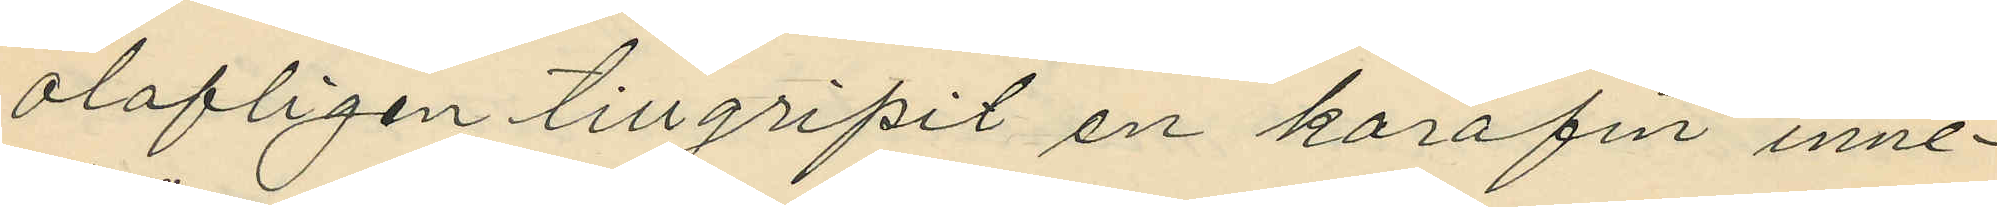olofligen tillgripit en karafin inne¬
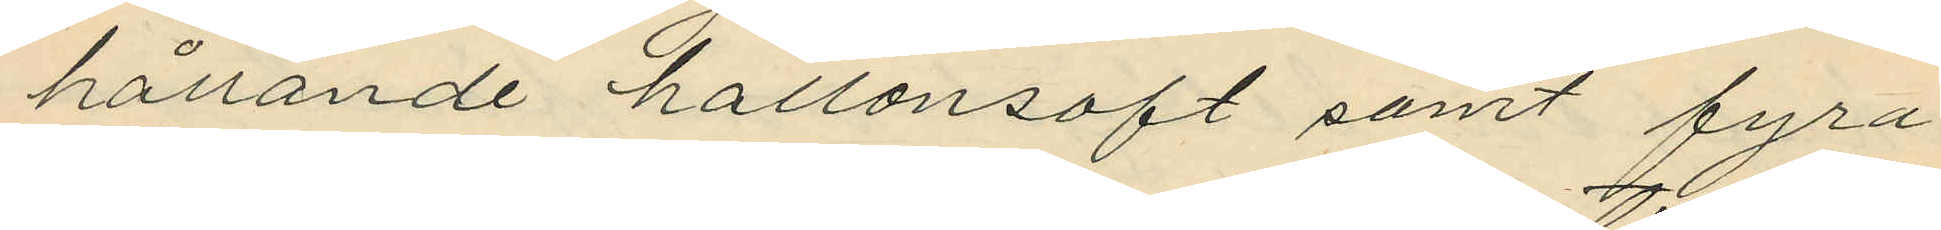hållande hallonsaft samt fyra
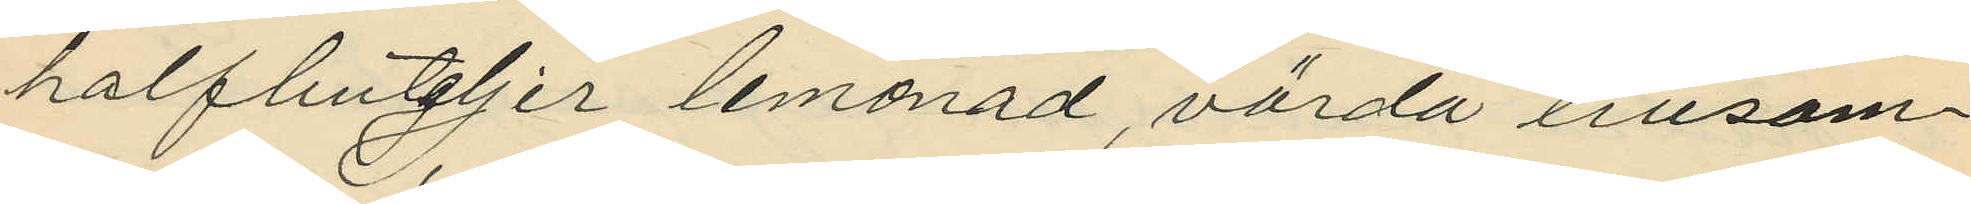halfbuteljer lemonad, värda tillsam¬
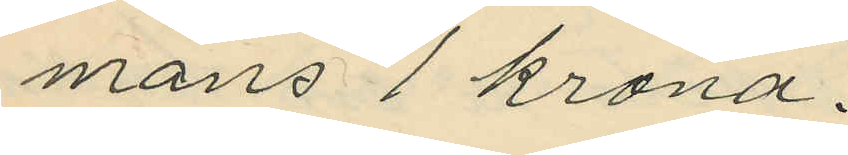mans 1 krona.
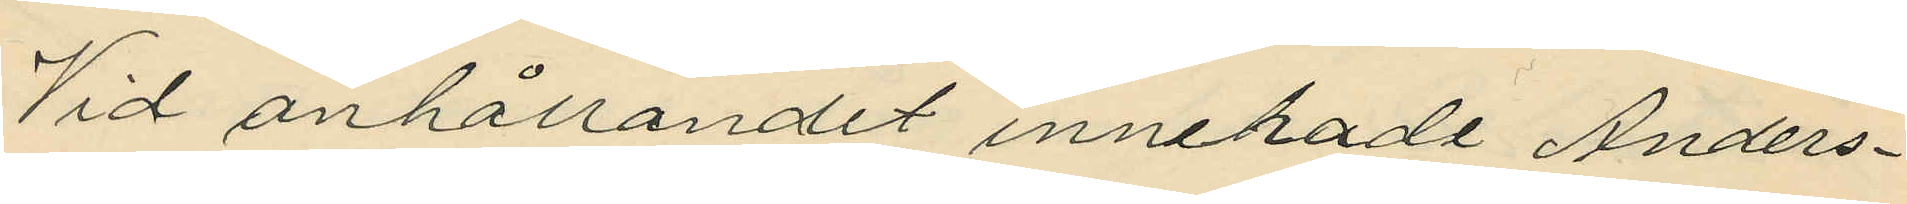Vid anhållandet innehade Anders¬
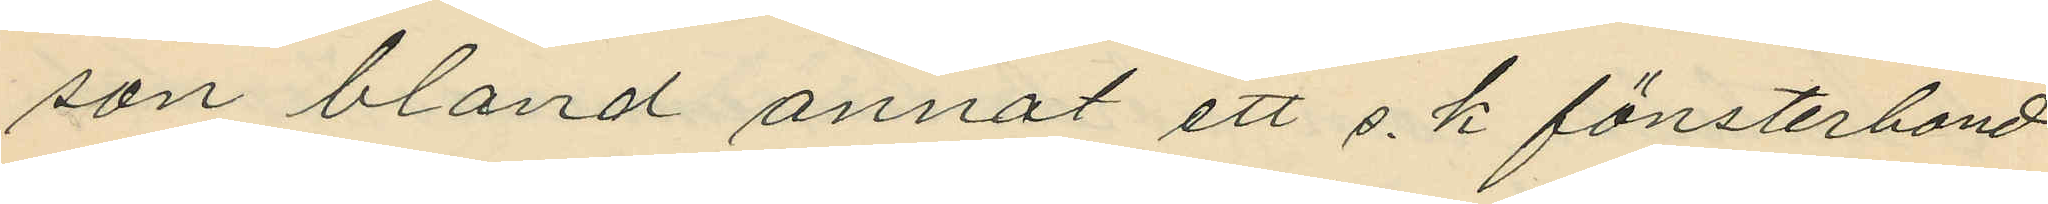son bland annat ett s. k fönsterband
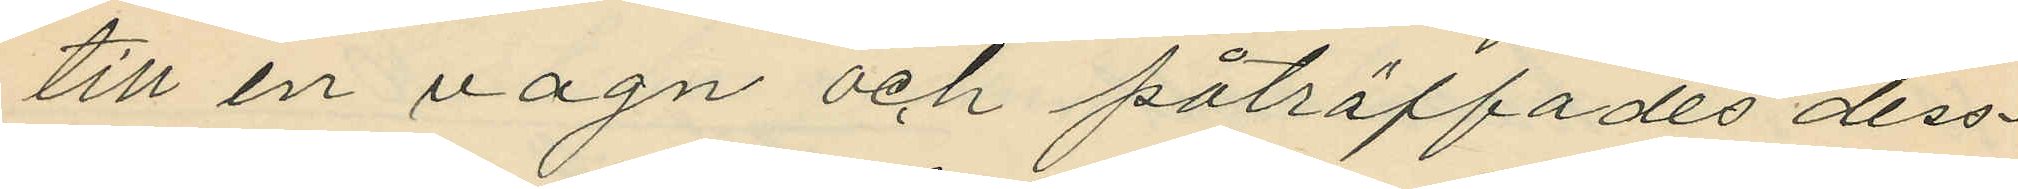till en vagn och påträffades dess¬
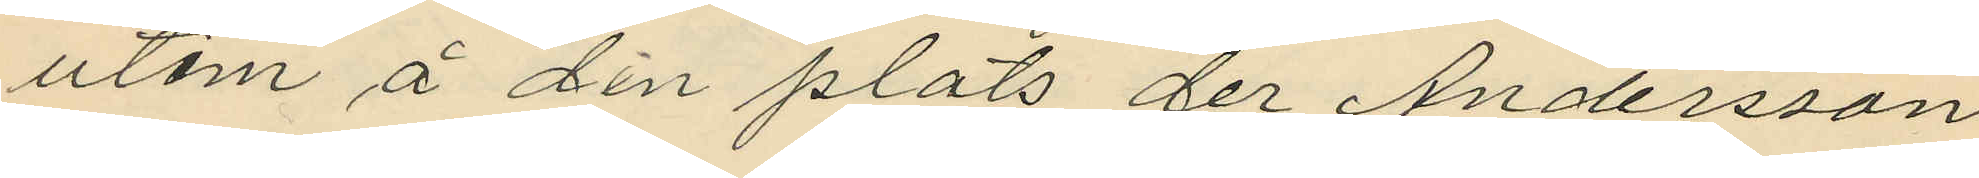utom å den plats der Andersson
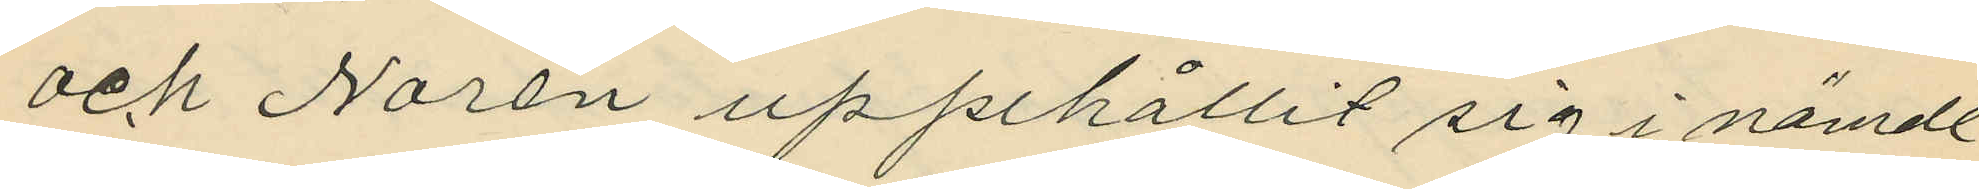och Norén uppehållit sig i nämde
